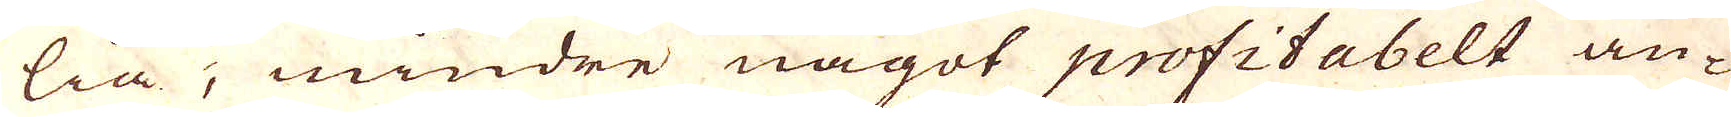lia, mindre något profitabelt an-
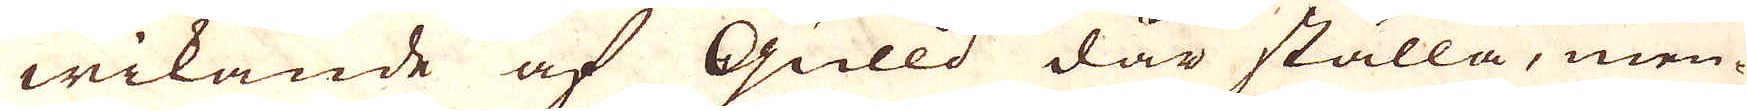wikande af Gulld där ställa, men-
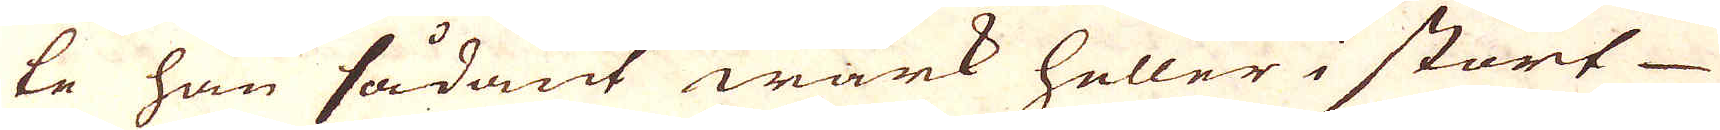te han sådant wärk heller i stort
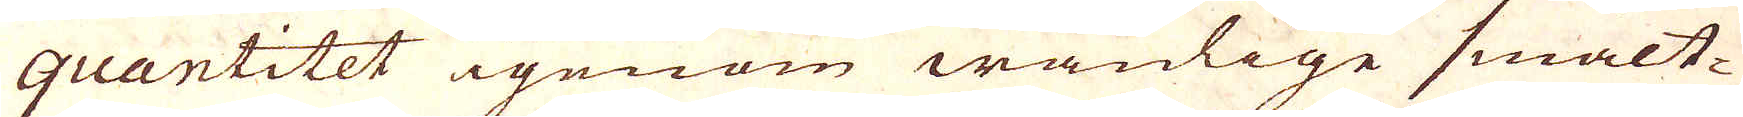Quantitet igenom wanlige smält-
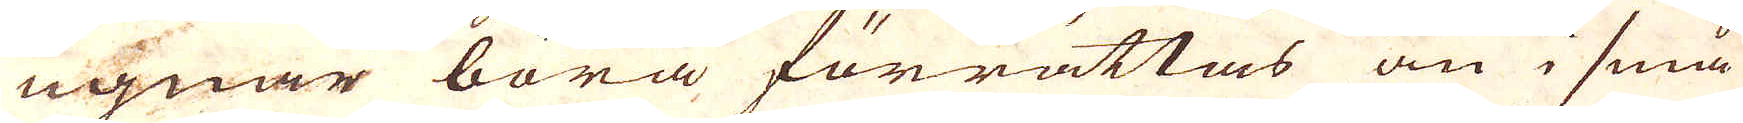ugnar böra förrättas än i små
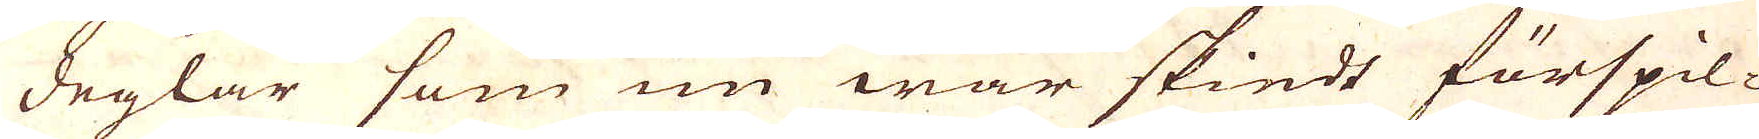deglar som nu war skiedt förspil-
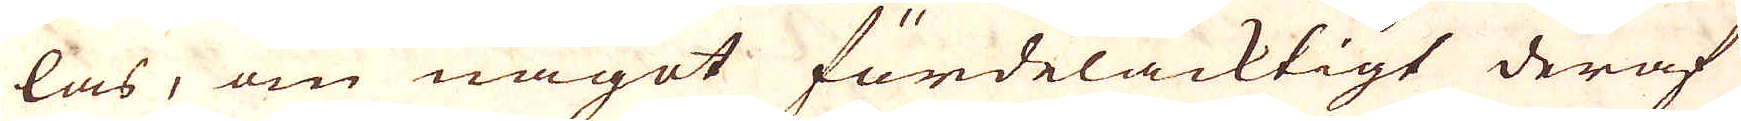las, om något fördelacktigt deraf
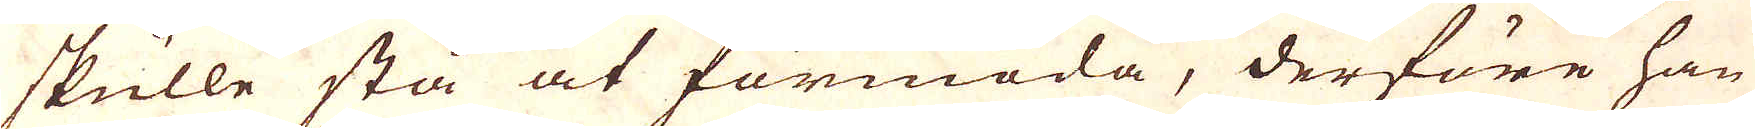skulle stå at förmoda, derföre han
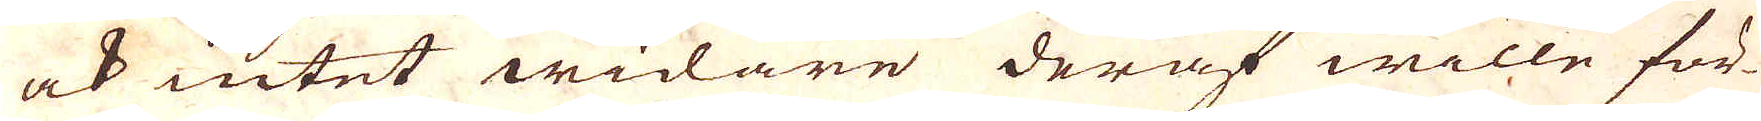ock intet widare deraf wille för-
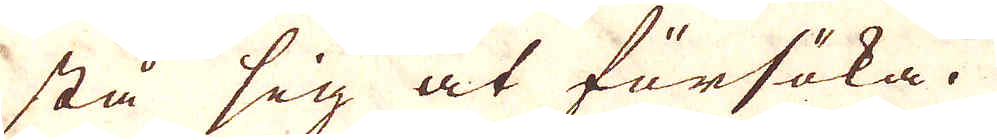stå sig at försöka.
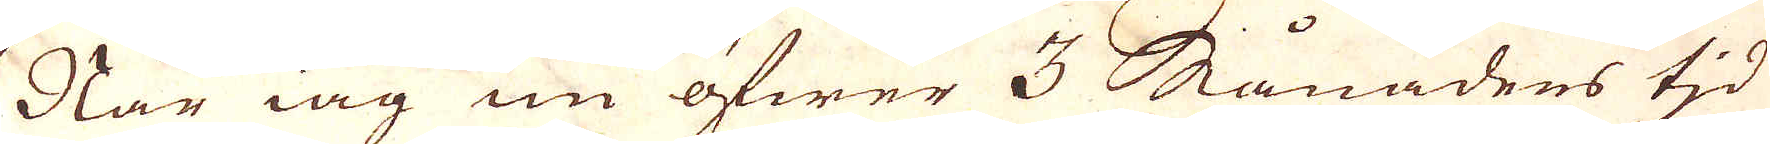När iag nu öfwer 3 Månaders tjd
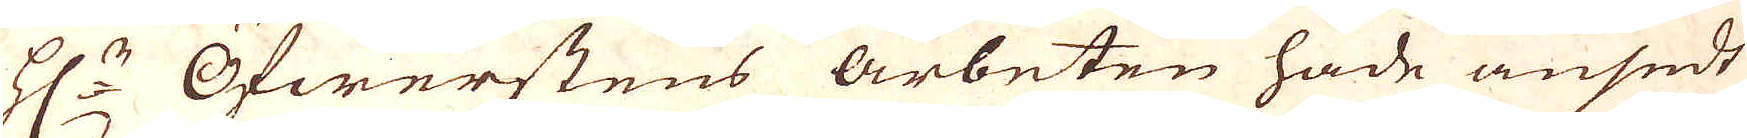H:r Öfwerstens Arbeten hade ansedt
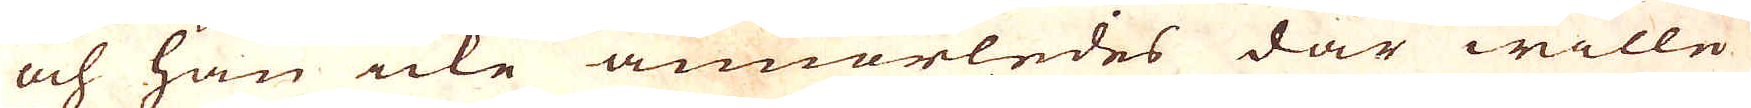och han icke annorledes där wille
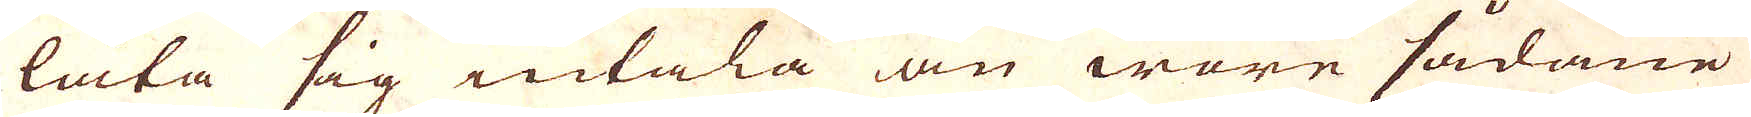låta sig intala än ware sådane
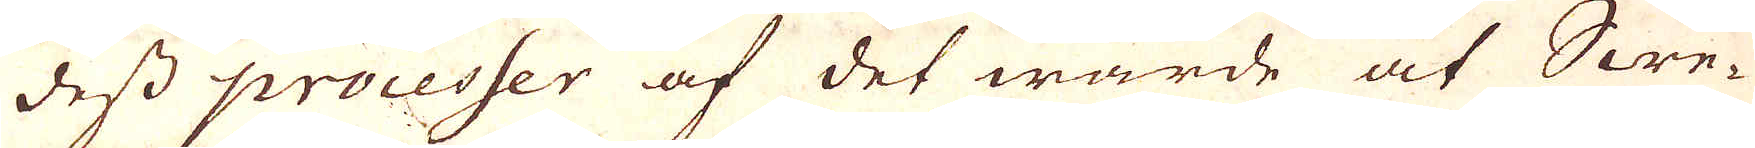dess processer af det wärde at Swe-
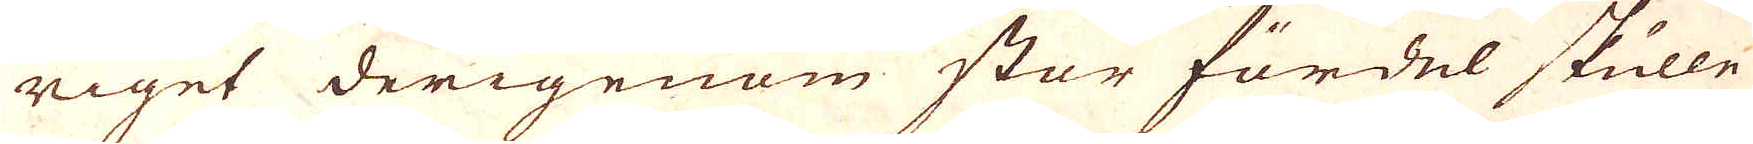riget derigenom stor fördel skulle
